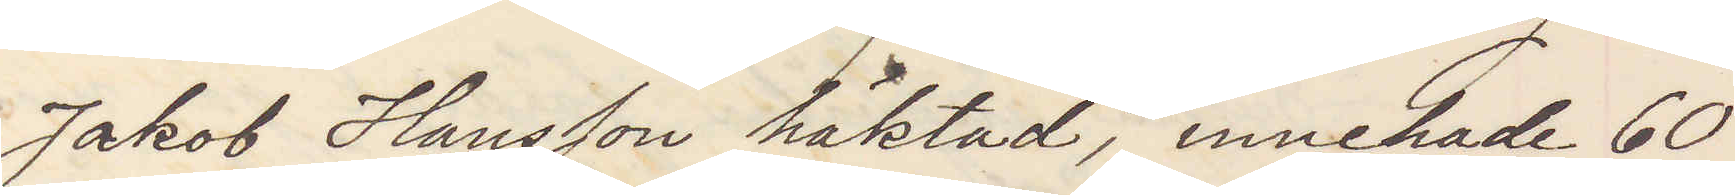Jakob Hansson häktad; innehade 60
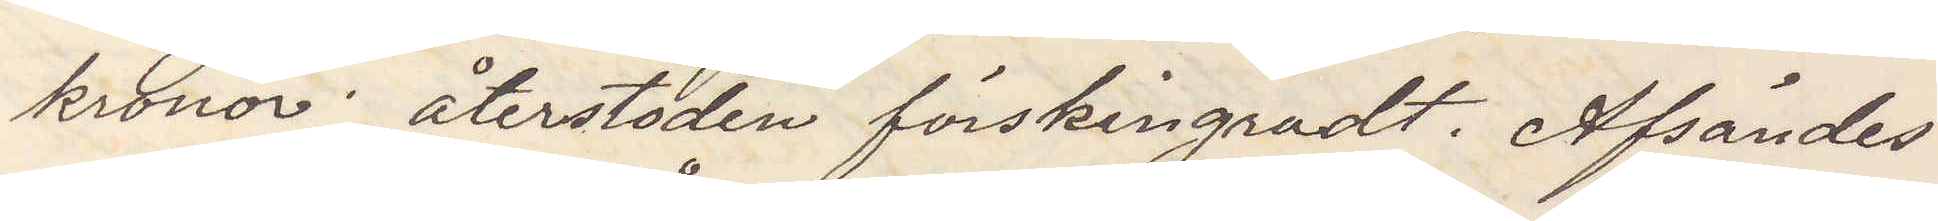kronor återstoden förskingradt. Afsändes
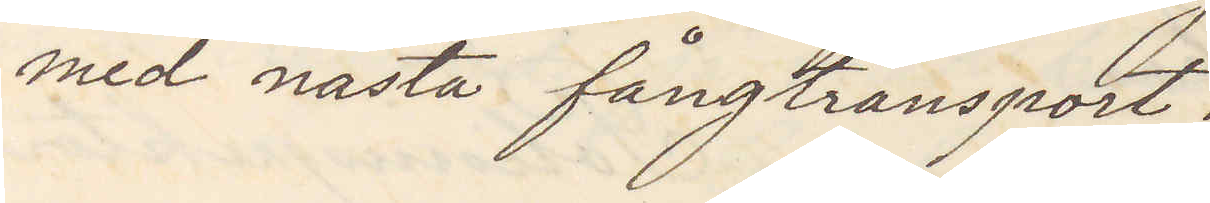med nästa fångtransport.
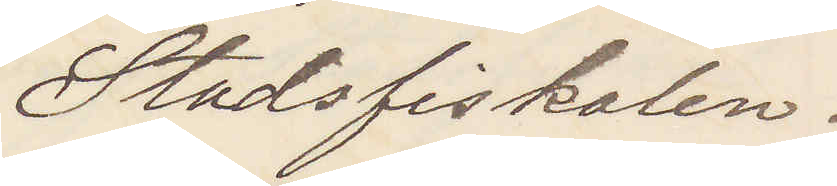Stadsfiskalen.
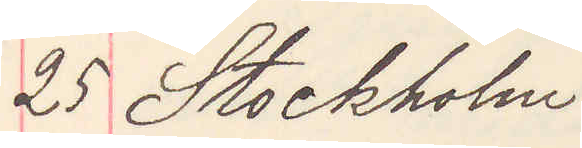25 Stockholm
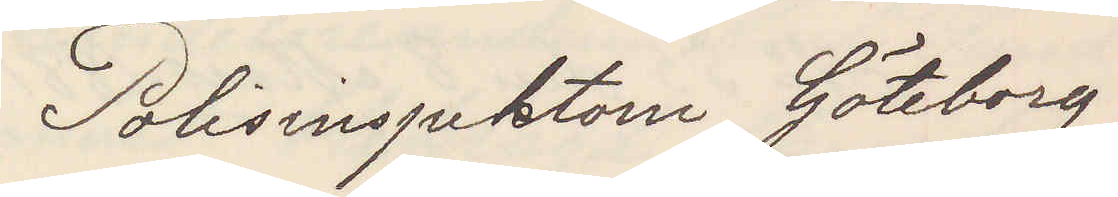Polisinspektorn Göteborg
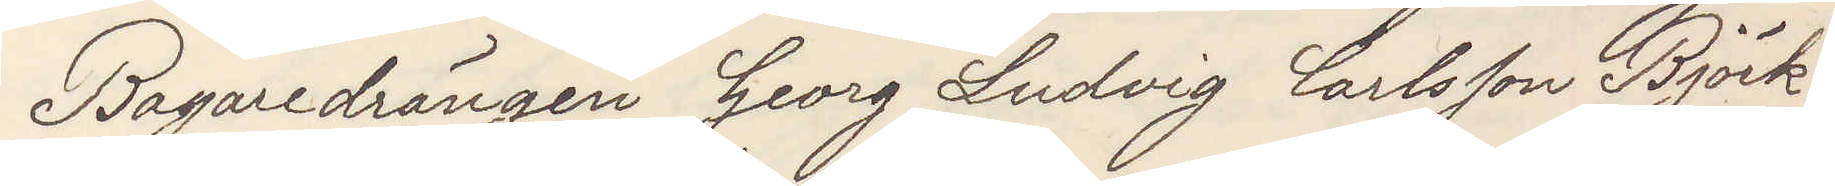Bagaredrängen Georg Ludvig Carlsson Björk¬
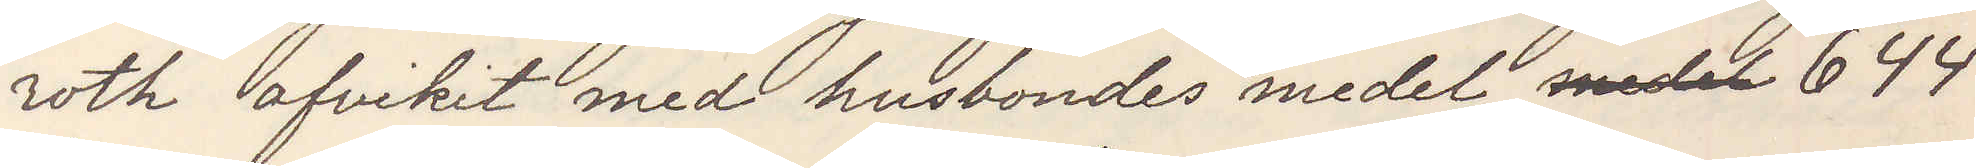roth afvikit med husbondens medel medel 644
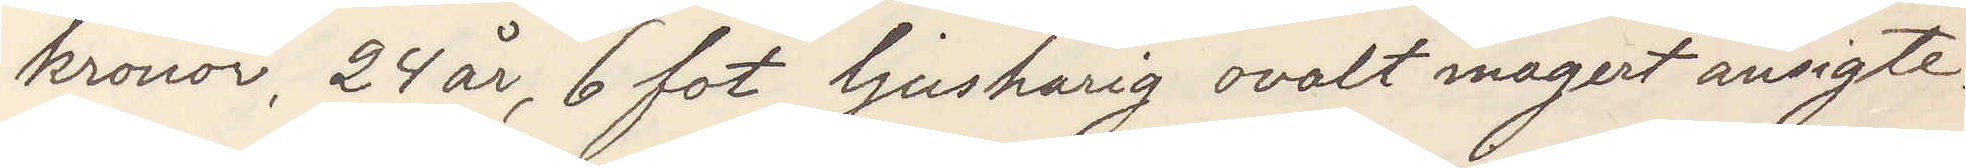kronor, 24 år, 6 fot ljushårig ovalt magert ansigte.
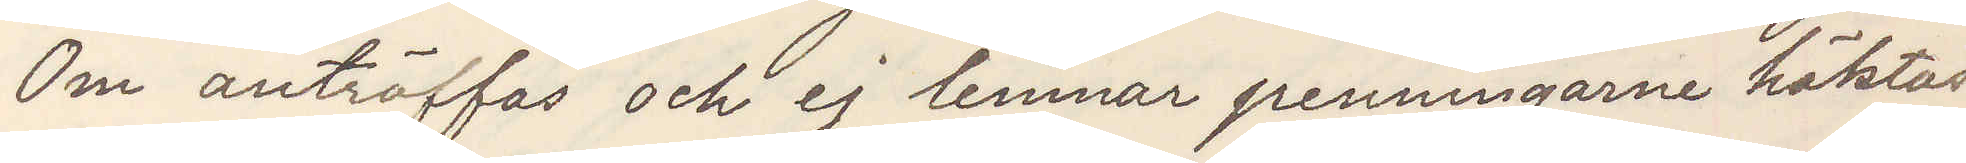Om anträffas och ej lemnar penningarne häktas.
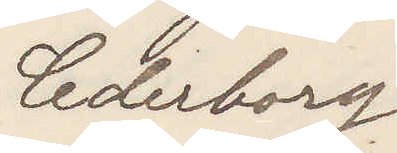Cederborg
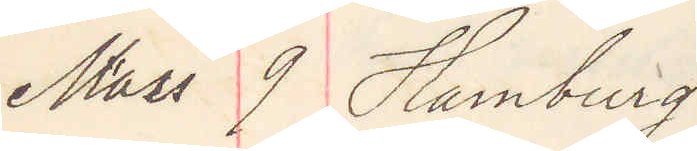Mars 9 Hamburg
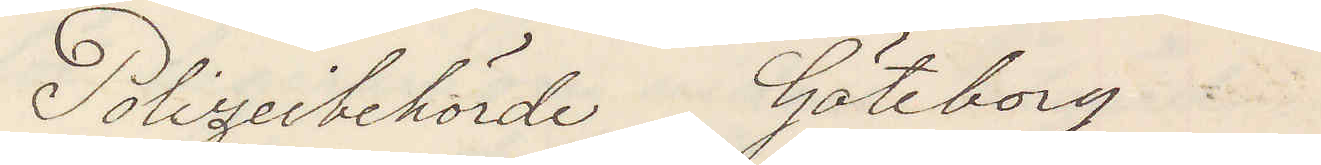Polizeibehörde Göteborg
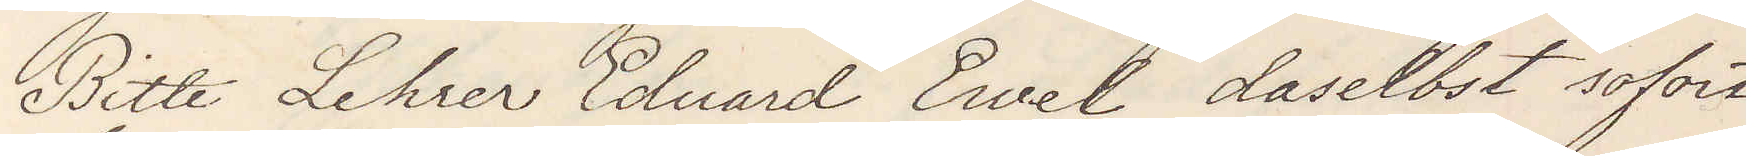Bitte Lehrer Eduard Ewel daselbst sofort
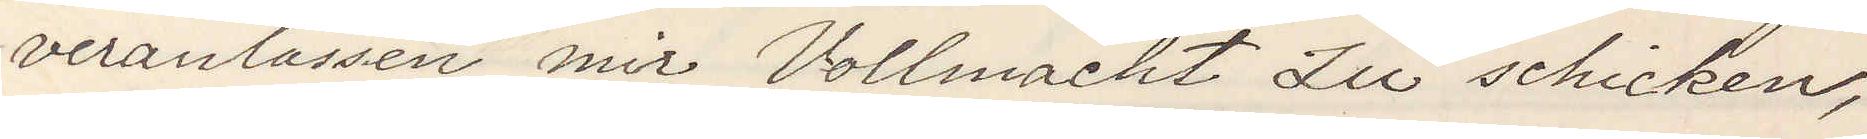veranlassen mit Vollmacht Zu schicken
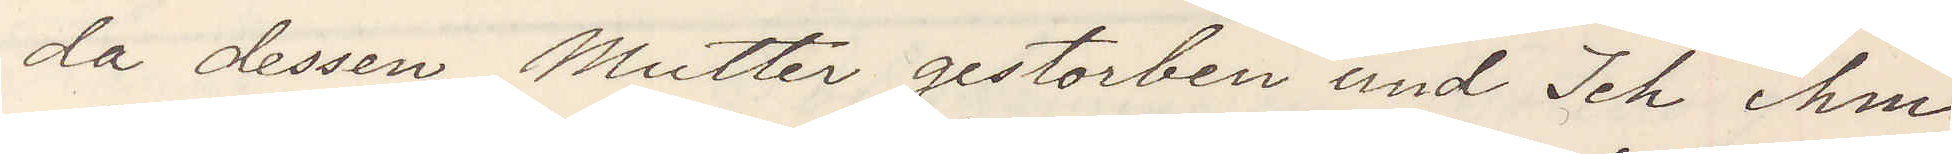da dessen Mutter gestorben und Ich ihm
